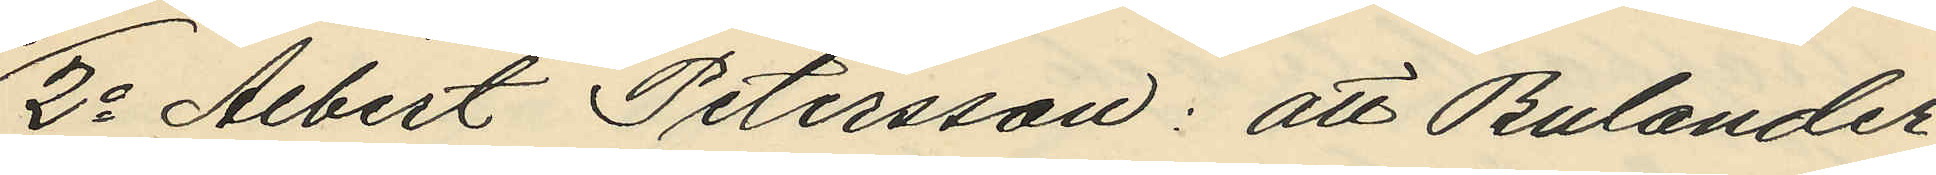2o Albert Petersson: att Bulander
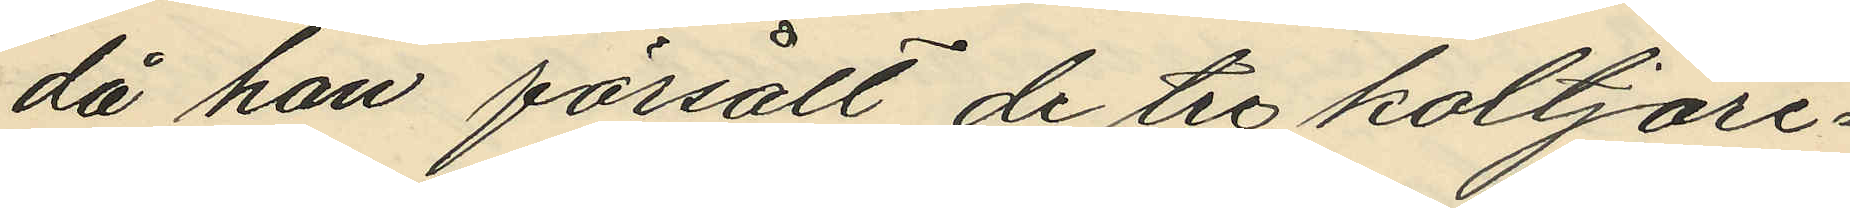då han försålt de tre koltjäre¬
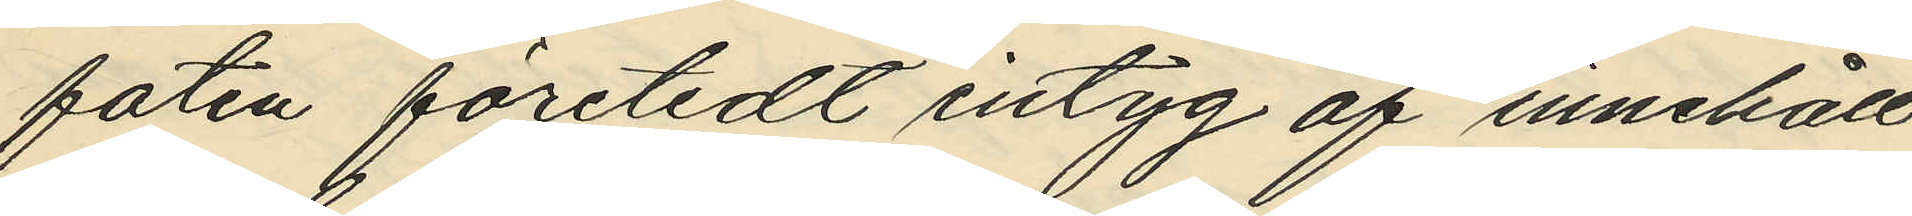faten företedt intyg af innehåll
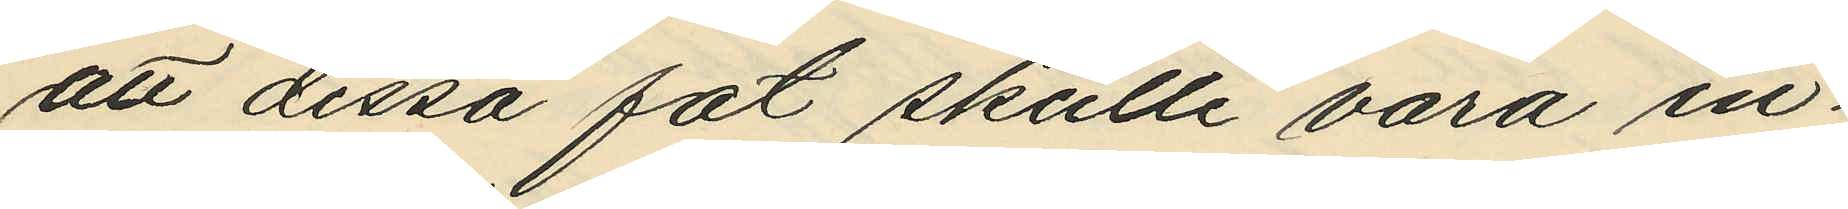att dessa fat skulle vara in¬
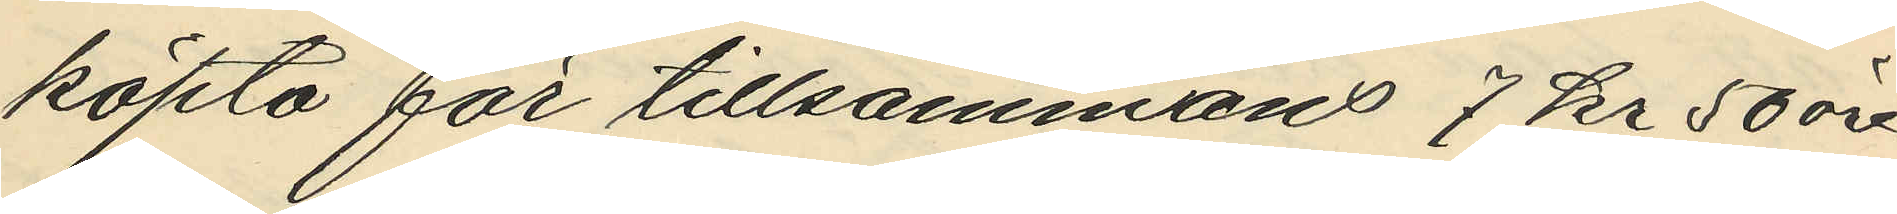köpta för tillsammans 7 kr 50 öre
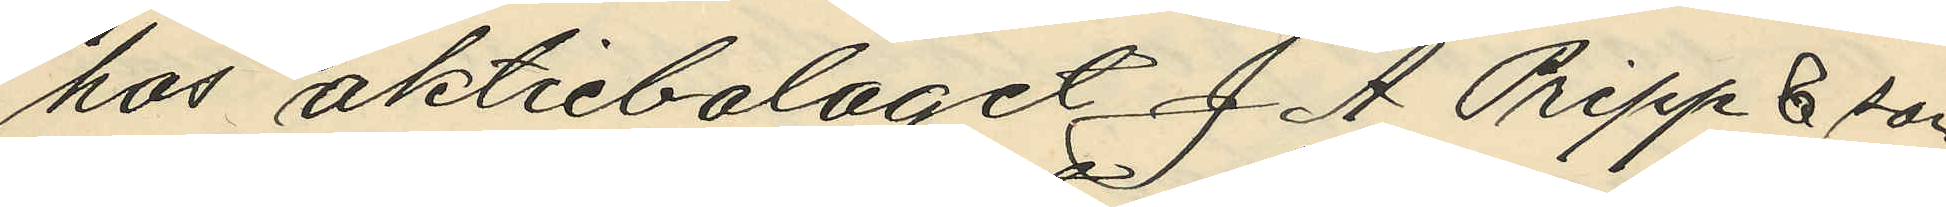hos aktiebolaget J A Pripp & son
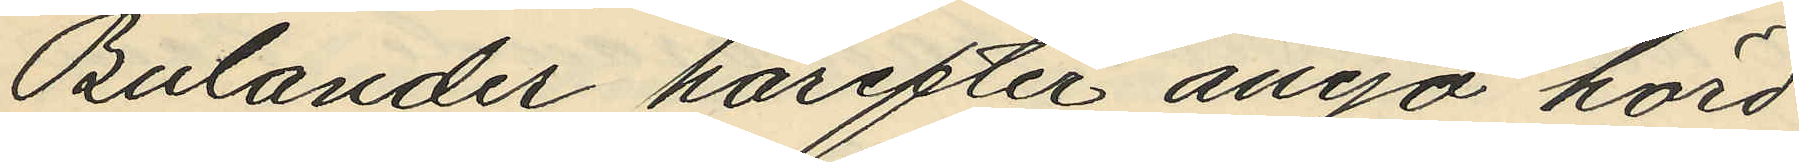Bulander härefter ånyo hörd
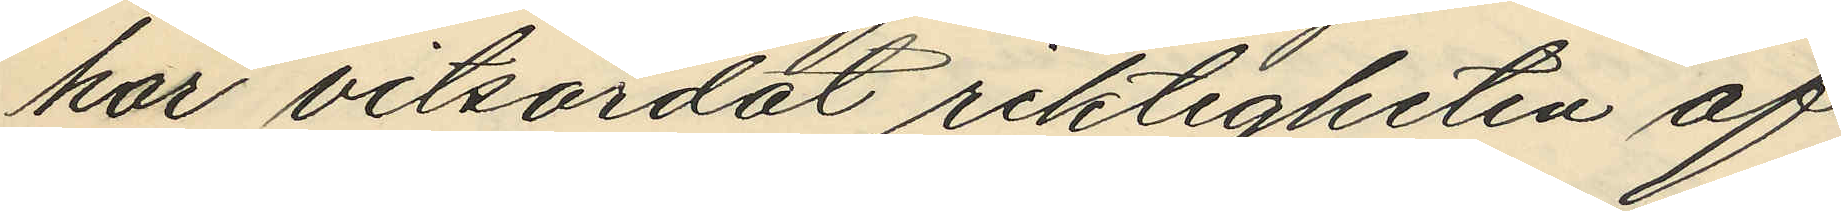har vitsordat riktigheten af
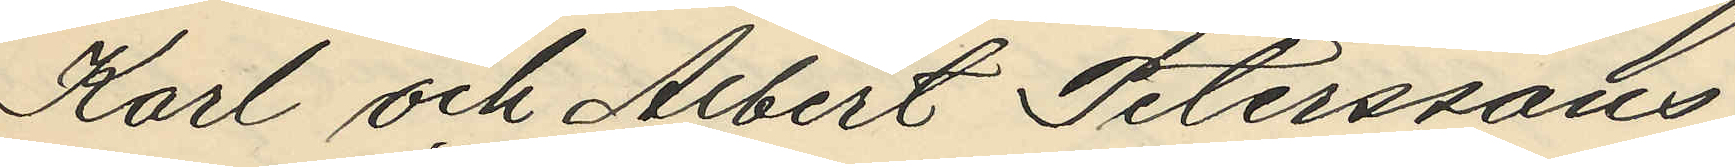Karl och Albert Peterssons
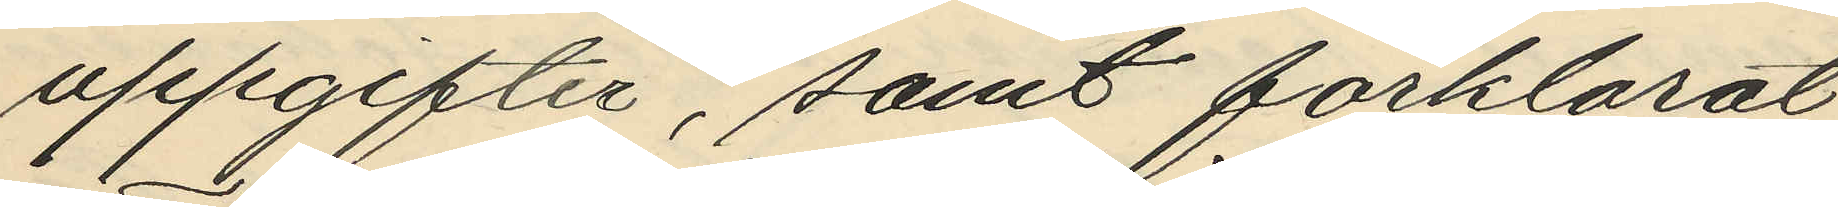uppgifter, samt förklarat
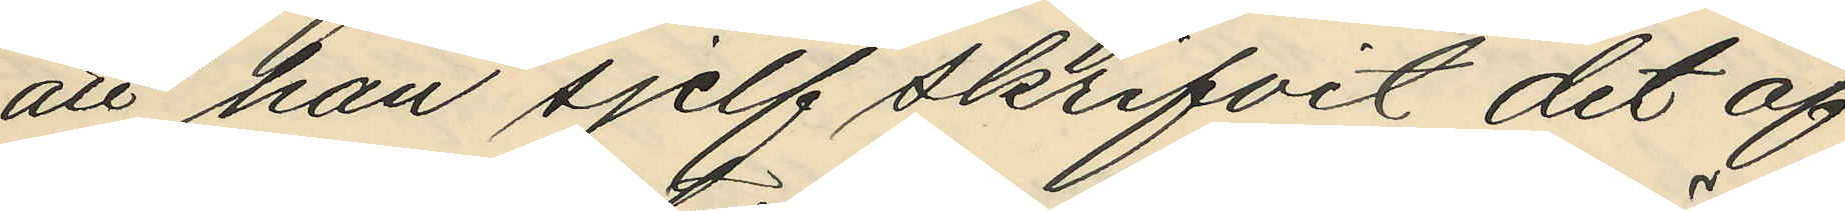att han sjelf skrifvit det af
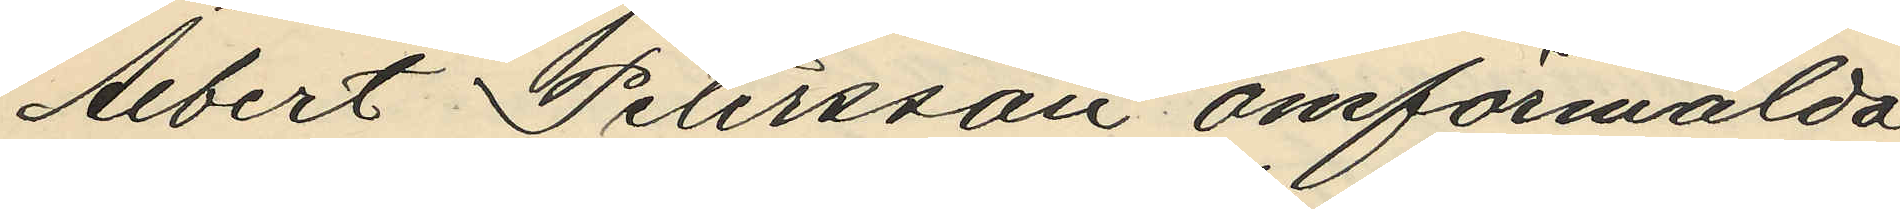Albert Petersson omförmälda
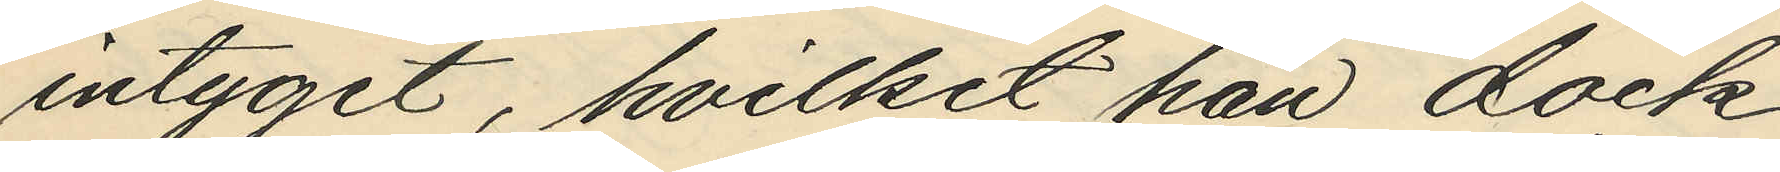intyget, hvilket han dock
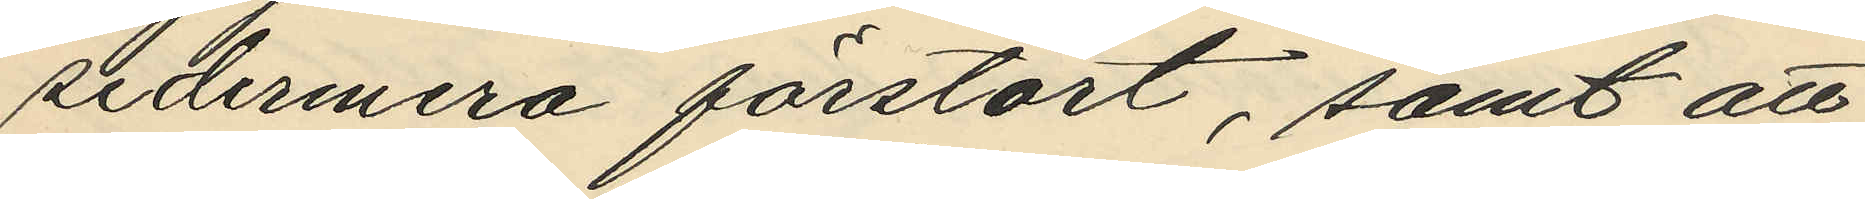sedermera förstört, samt att
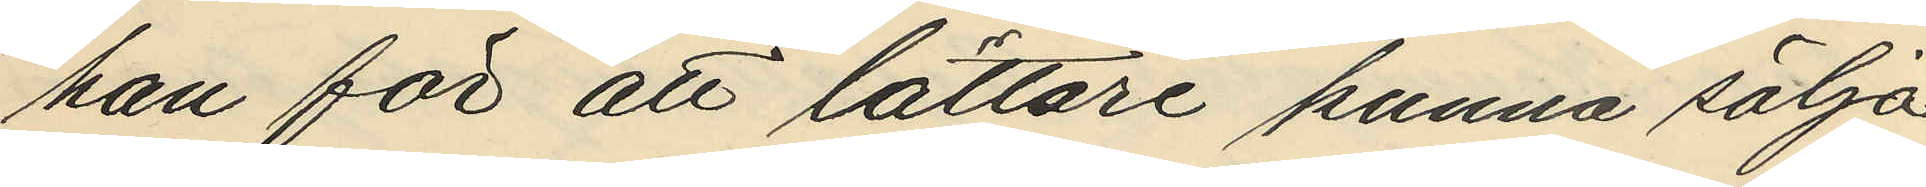han för att lättare kunna sälja
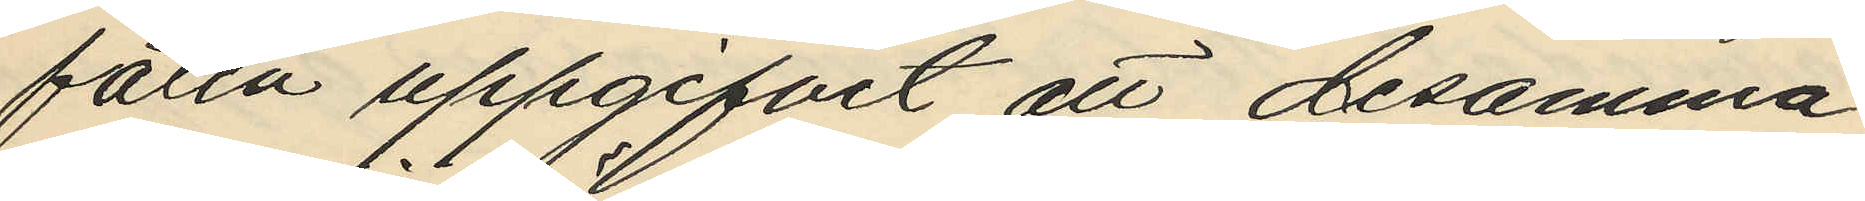faten uppgifvit att desamma
